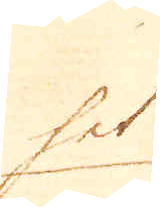het
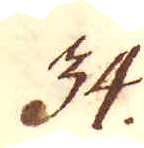34.
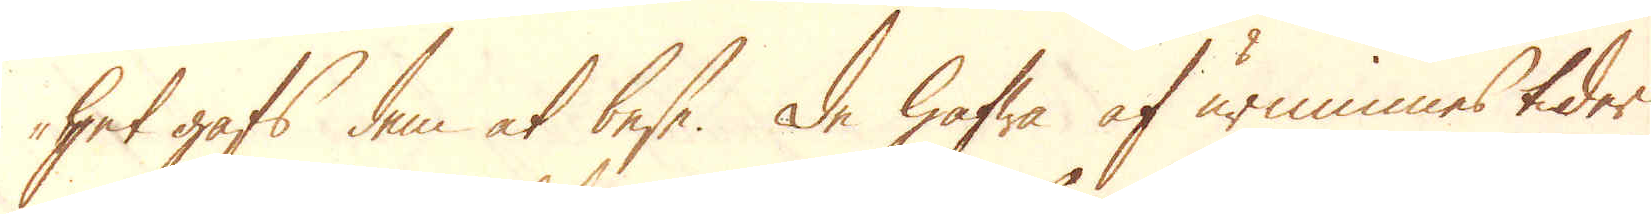-het gafs dem at bese. De hafwa af urminnes tider
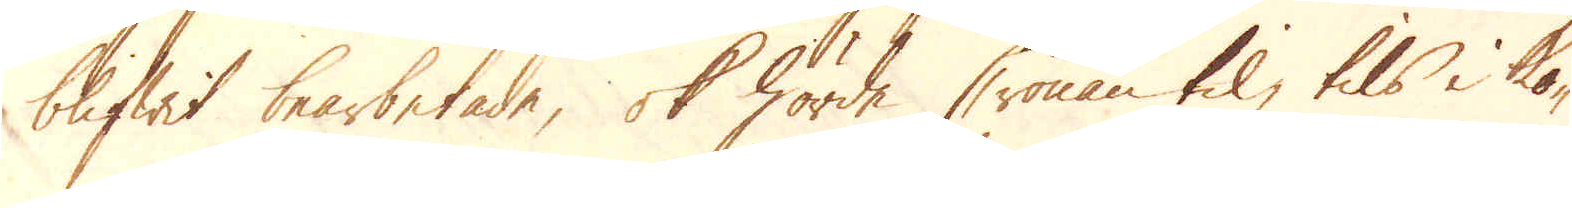blifwit bearbetade, ok hörde Cronan til, tils Ko-
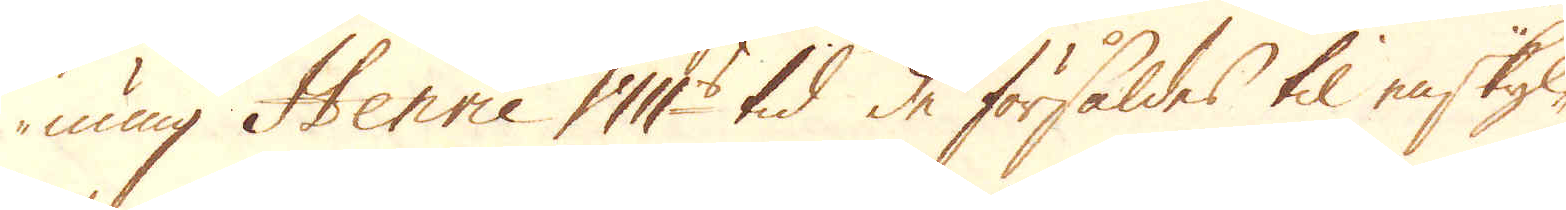nung Henric VIII:s tid de försåldes til enskyl-
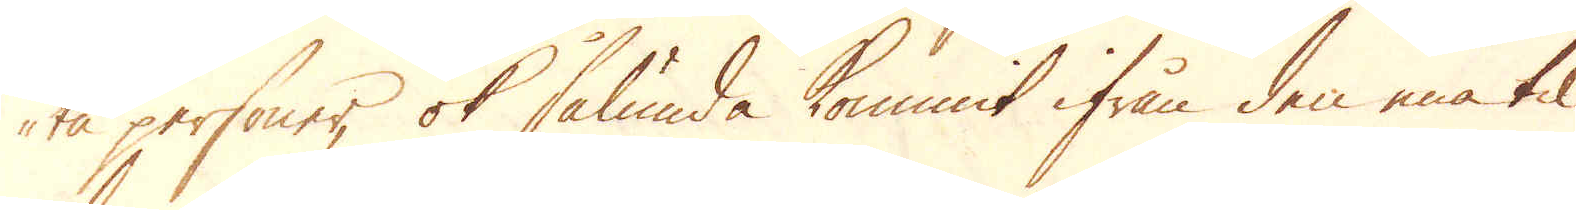ta personer, ok sålunda kommit ifrån den ena til
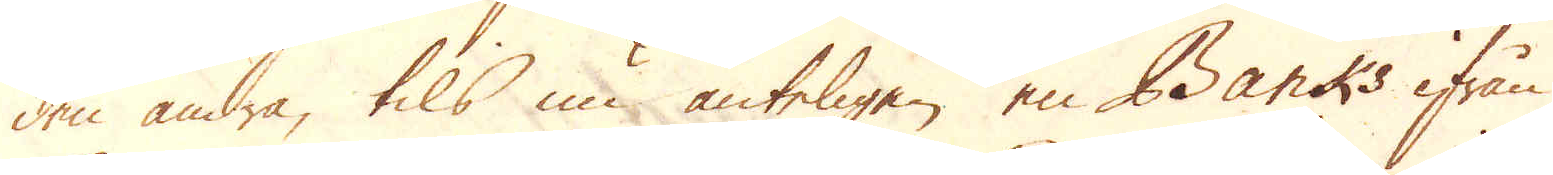den andra, tils nu änteligen en Banks ifrån
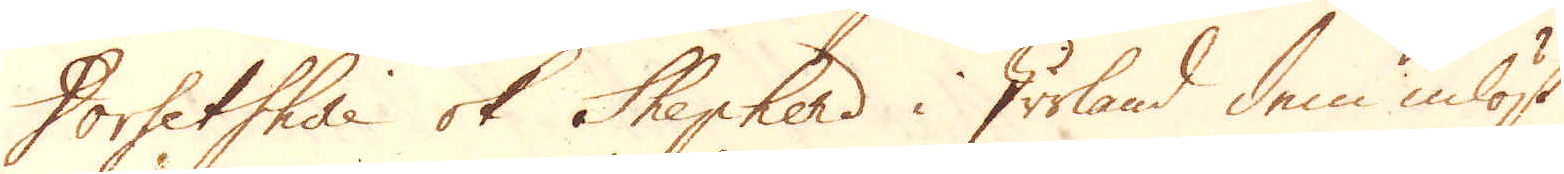Dorsetshire ok Shepherd i Irrland dem inlöst
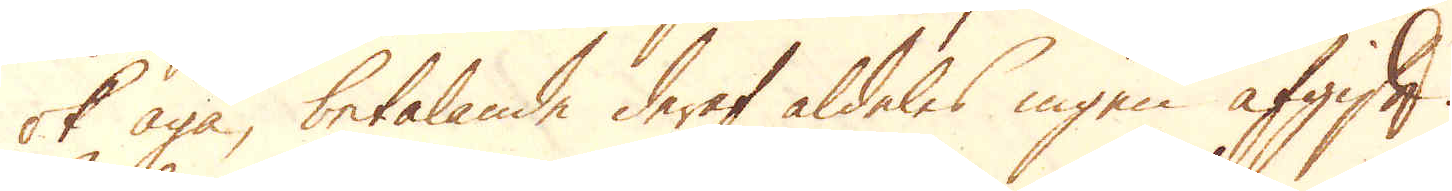ok äga, betalande deraf aldeles ingen afgift.
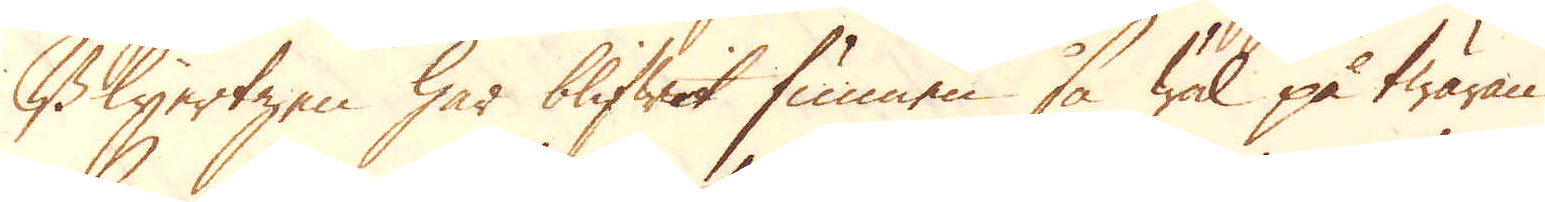Blyertzen har blifwit funnen så wäl på twäran
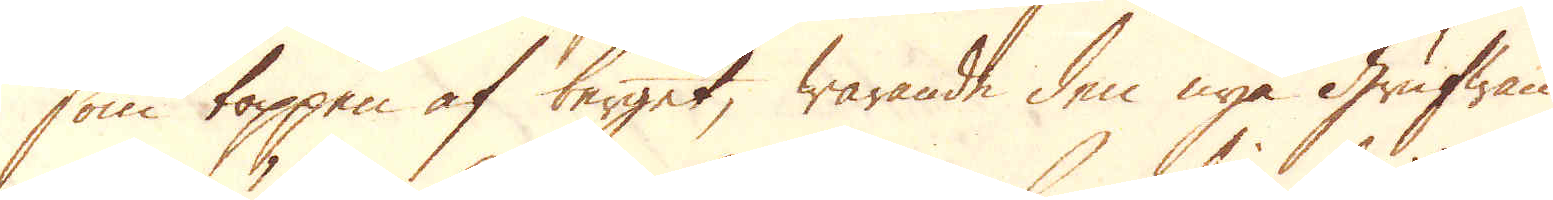som toppen af berget, warande den nya Grufwan,
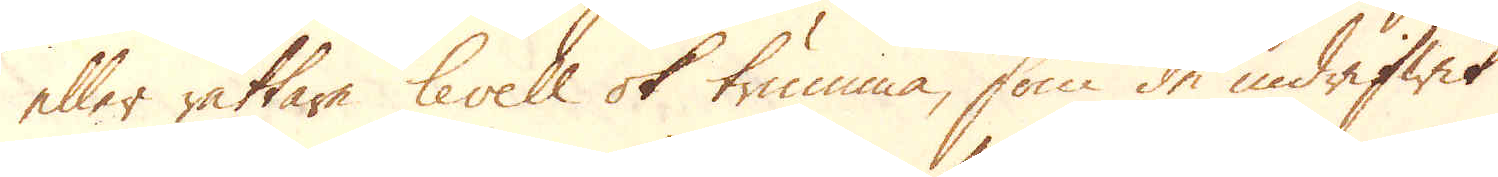eller rättare levell ok trumma, som de indrifwit
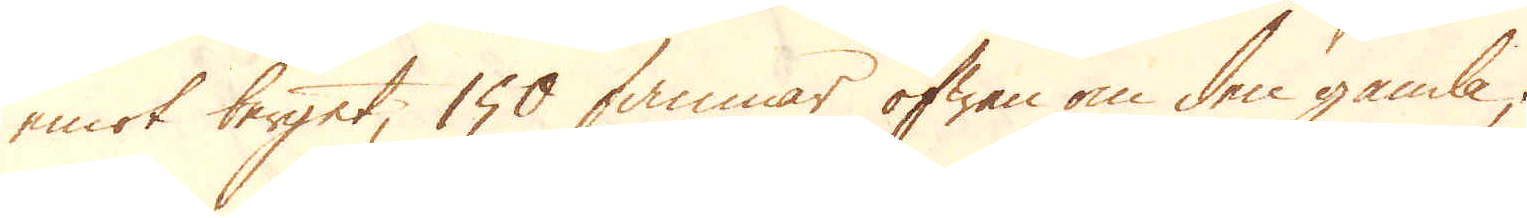emot berget, 150 famnar ofwan om den gamla;
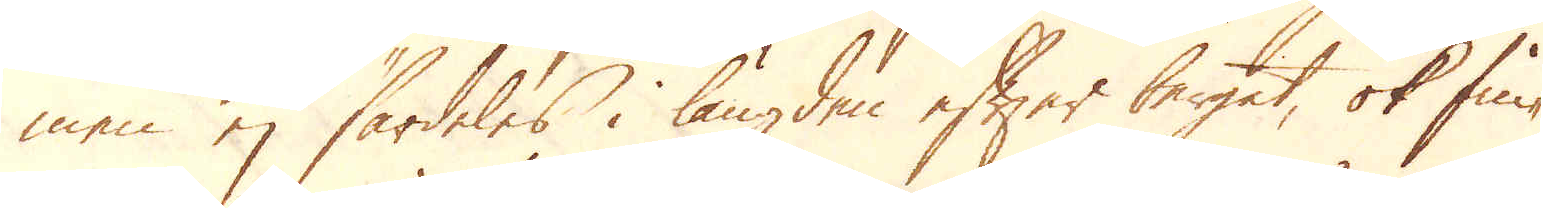men ej särdeles i längden efter berget, ok fin-
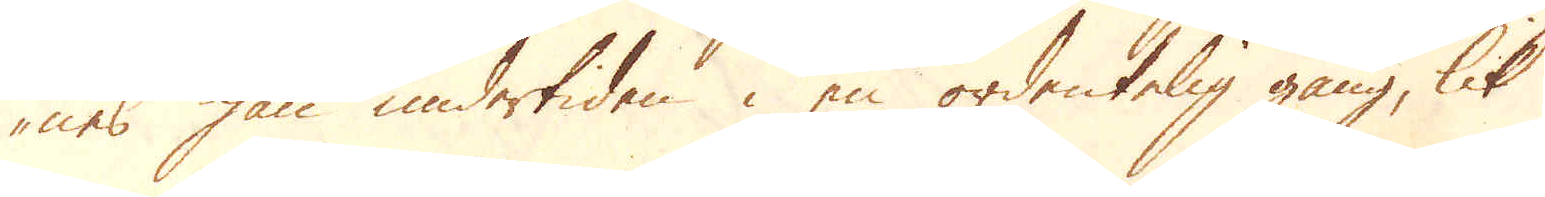nes han undertiden i en ordentelig gång, lik
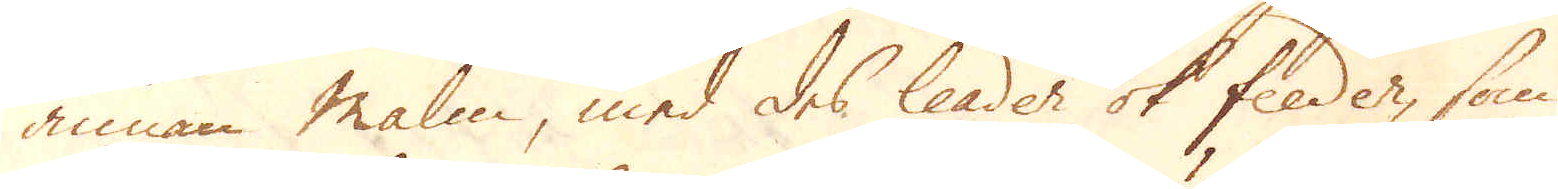annan Malm, med des leader ok feeder, som
